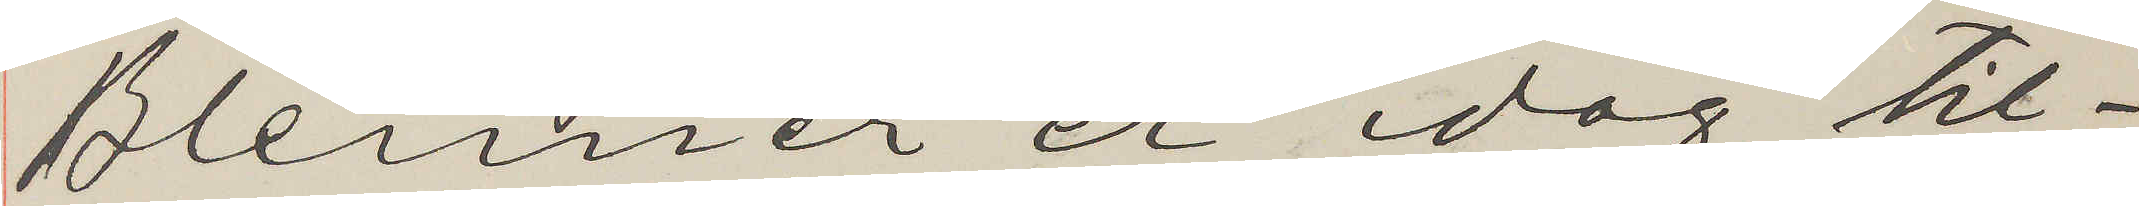Blenner er idag til¬
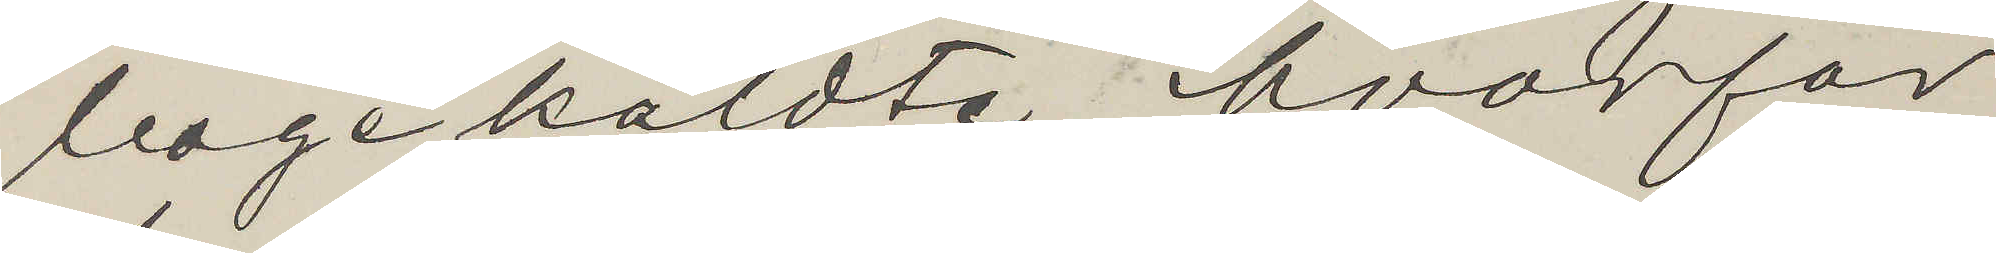bagekaldte, hvorfor
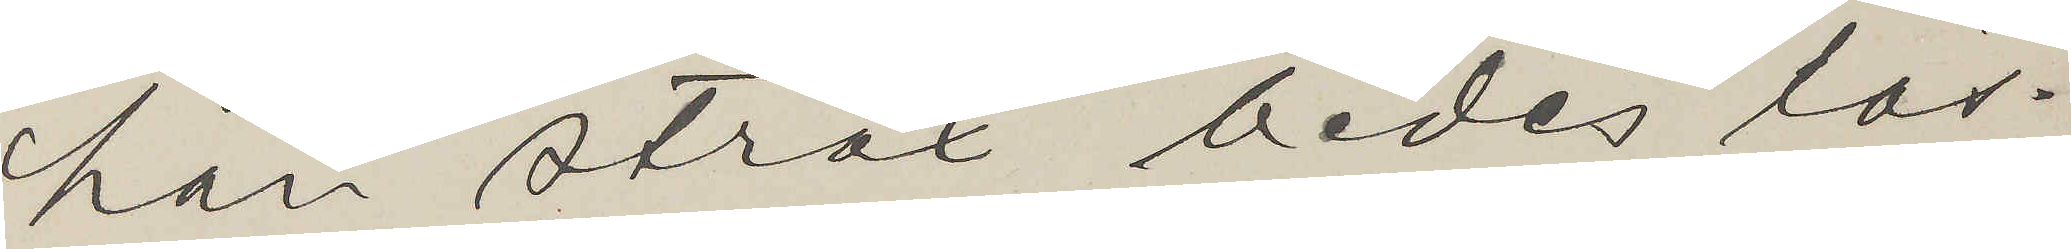han strax bedes lös¬
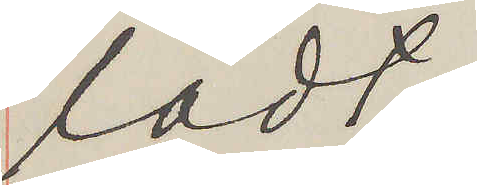ladt.
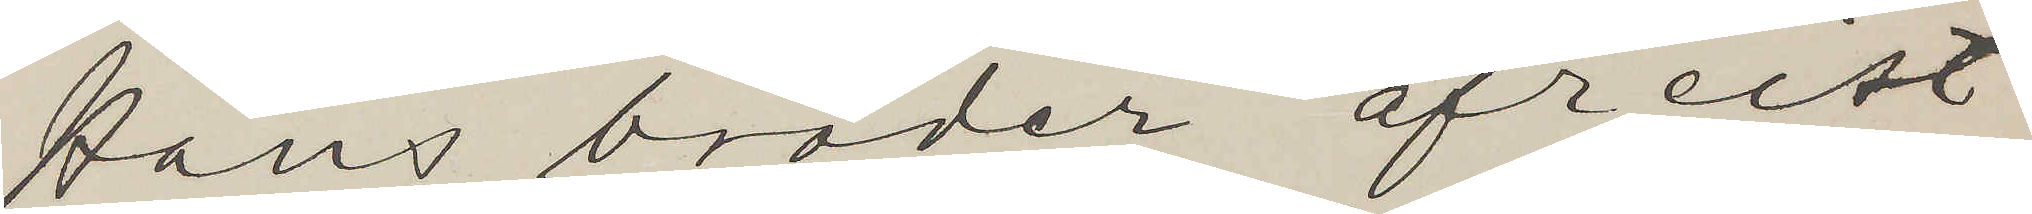Hans broder afreist
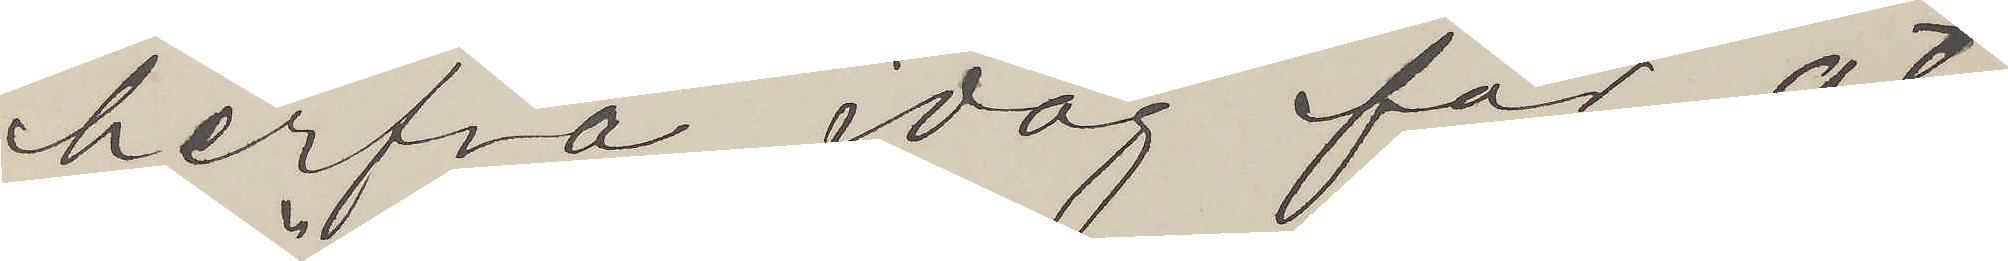herfra idag for at
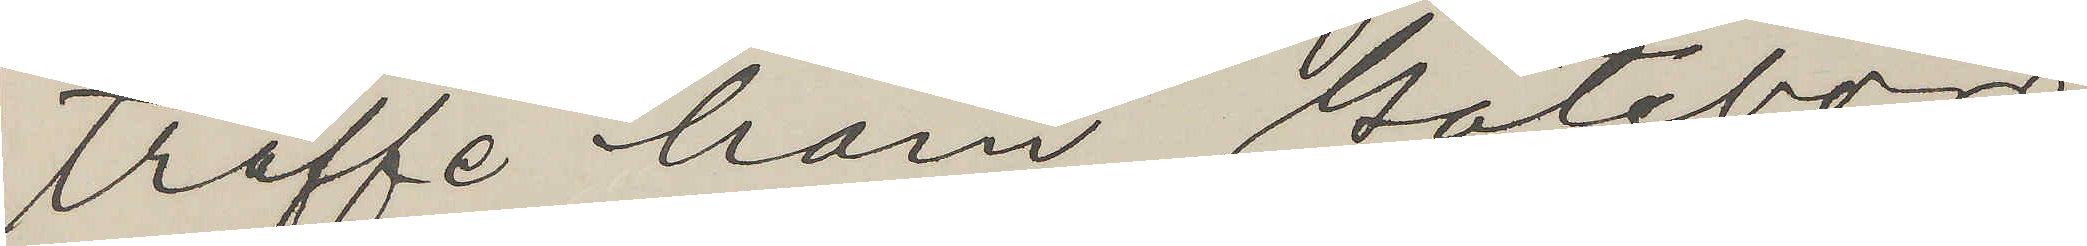träffe ham Göteborg
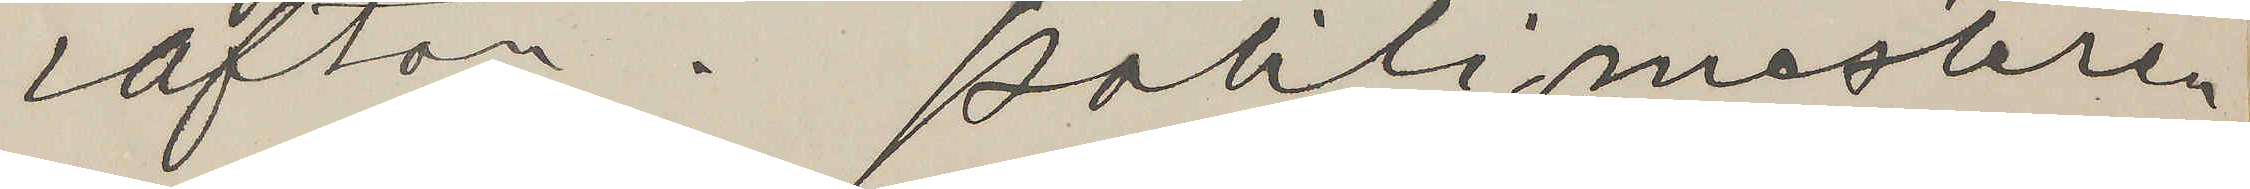i afton. Politimesteren
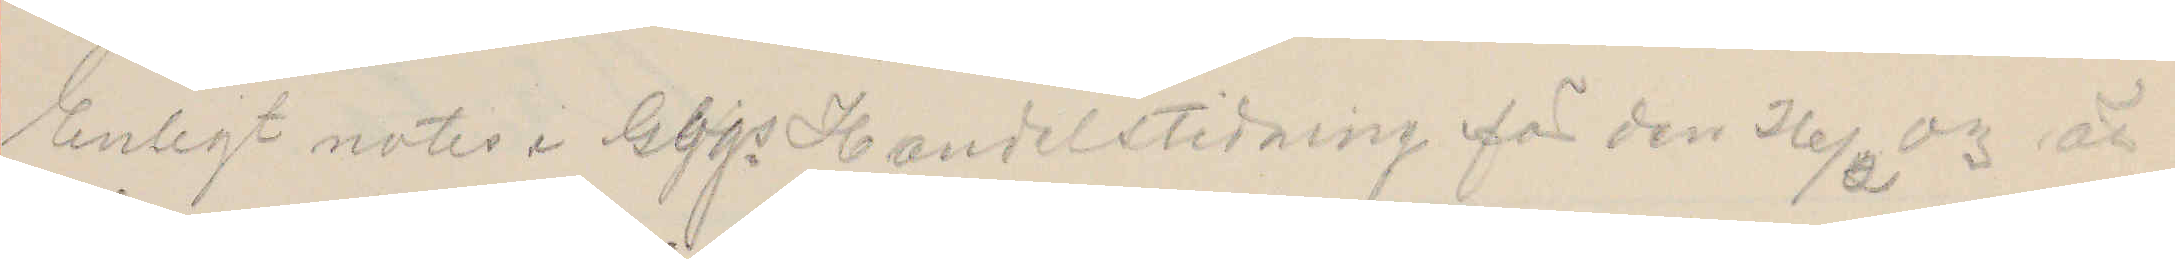Enligt notis i Gbgs Handelstidning för den 26/2 03 är
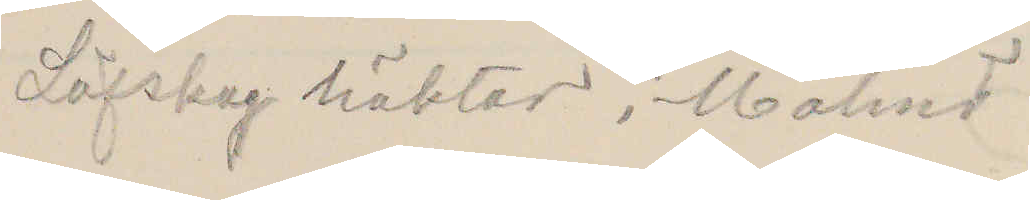Löfskog häktad i Malmö
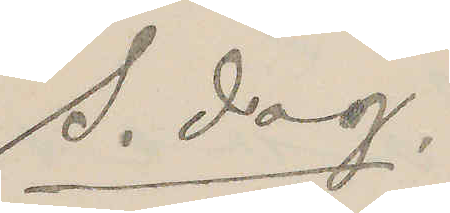S. dag.
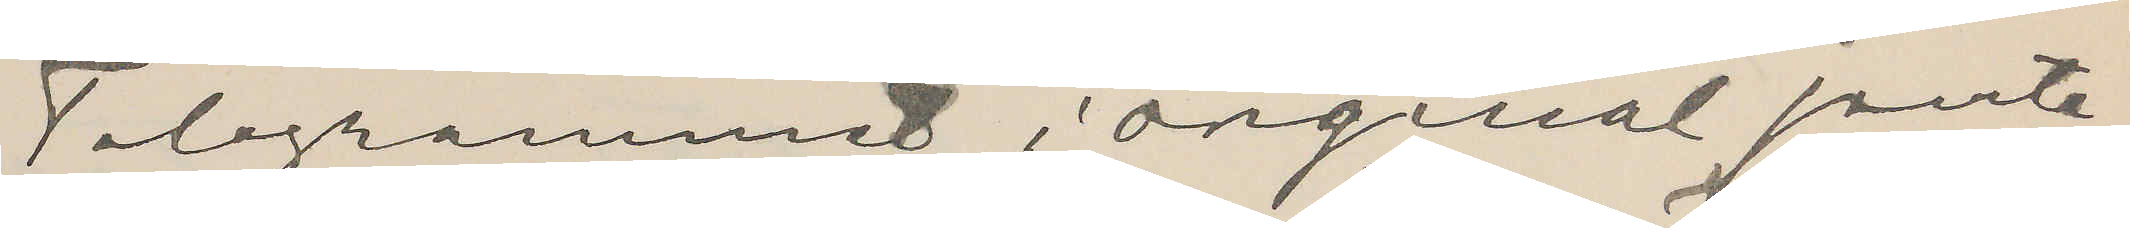Telegrammet i original jemte
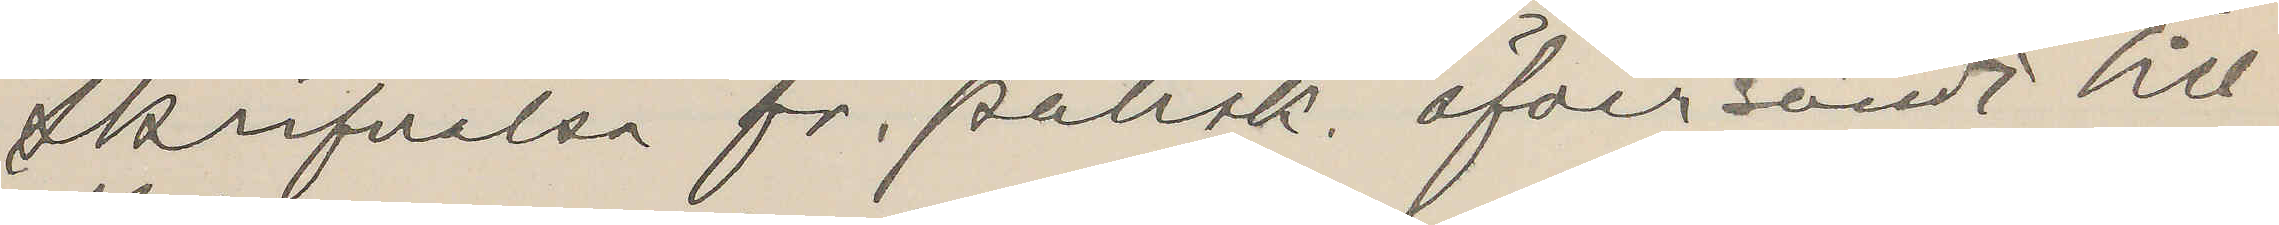skrifvelse fr. polisk. öfversändt till
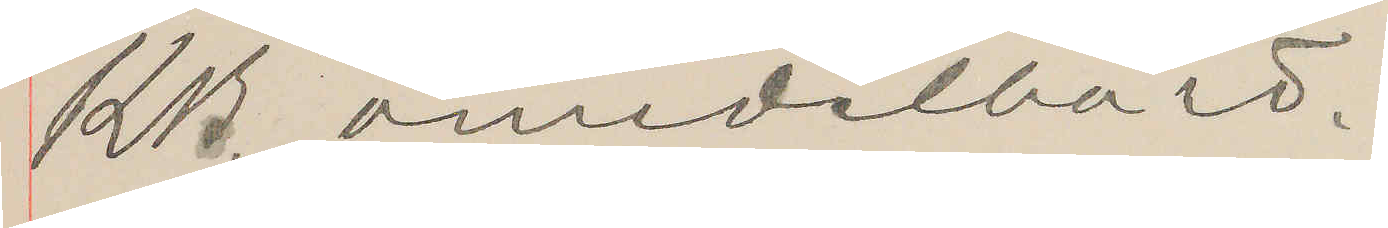KB. omedelbart.
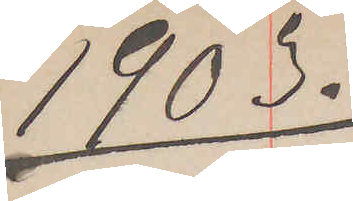1903.
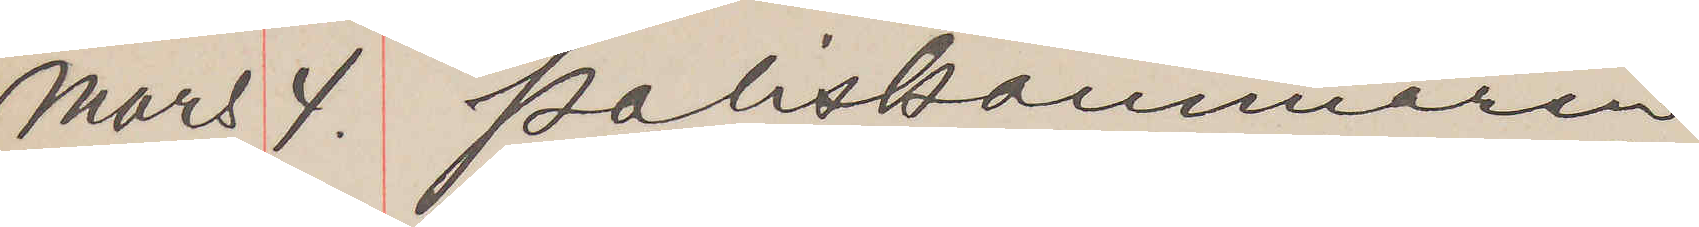Mars 4. Poliskammaren
